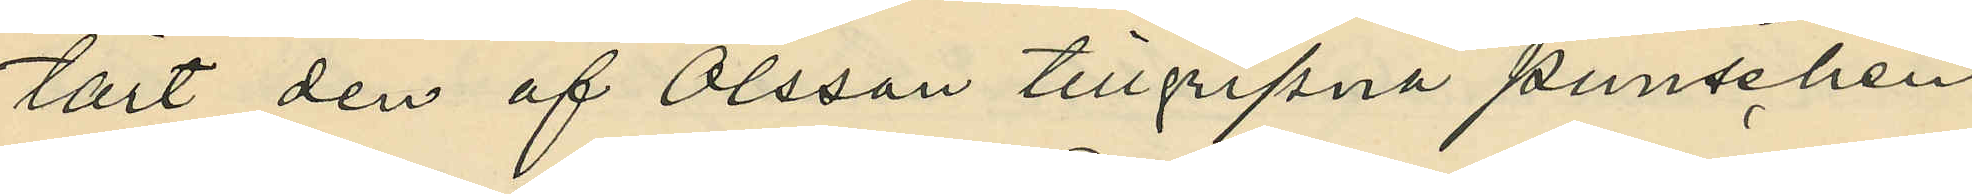tärt den af Olsson tillgripna punschen.
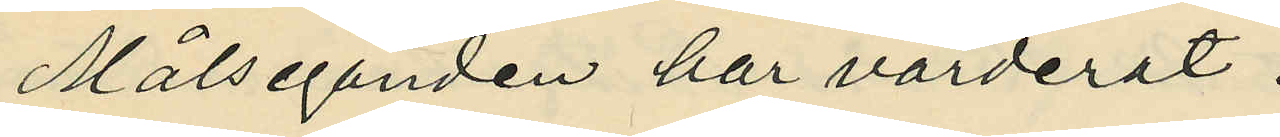Målseganden har värderat:
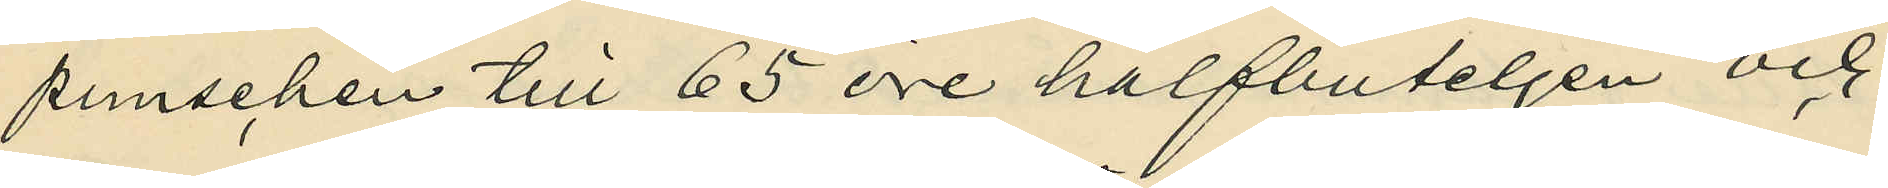punschen till 65 öre halfbuteljen och
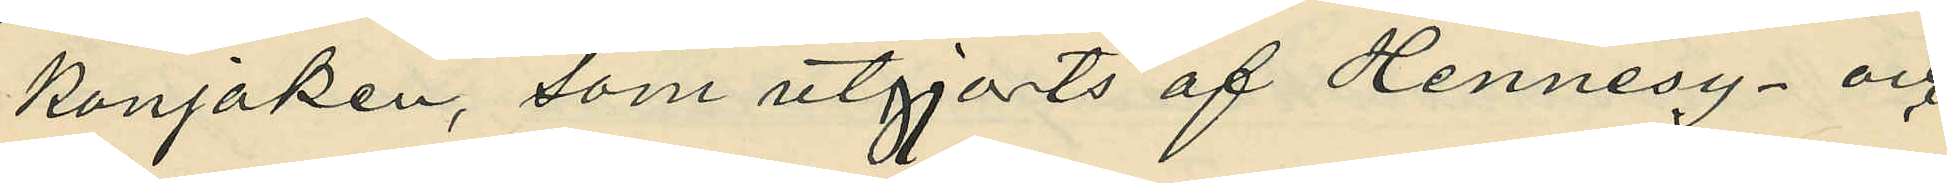konjaken, som utgjorts af Hennesy- och
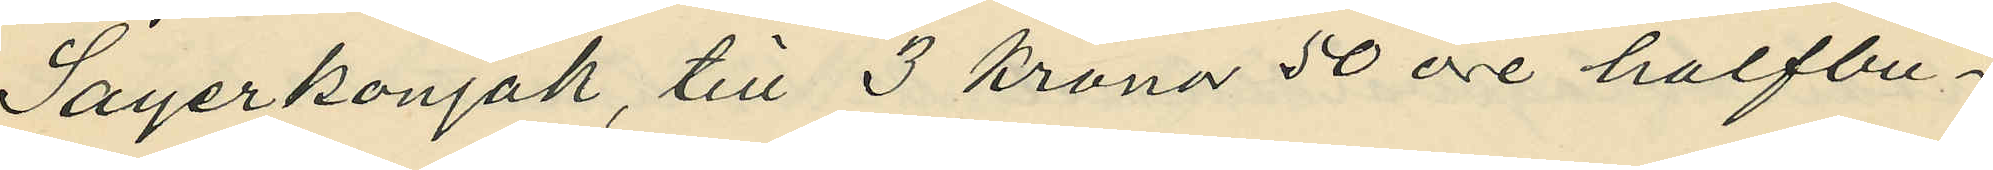Sayerkonjak, till 3 kronor 50 öre halfbu¬
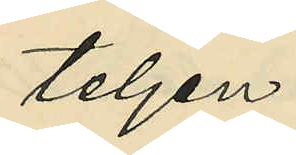teljen.
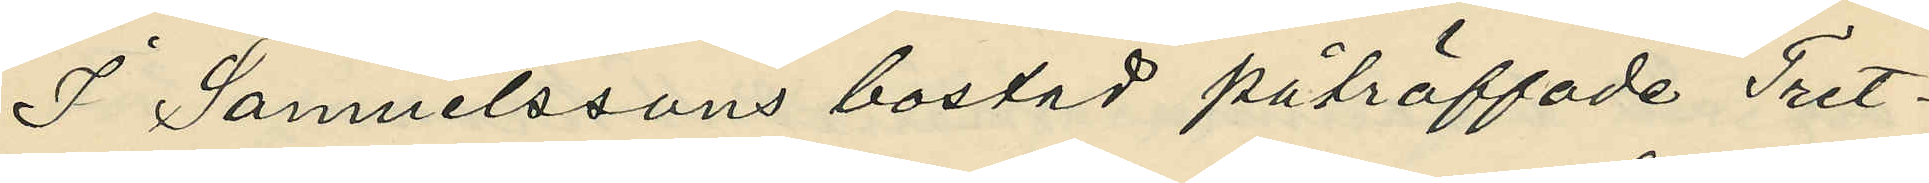I Samuelssons bostad påträffade Tret¬
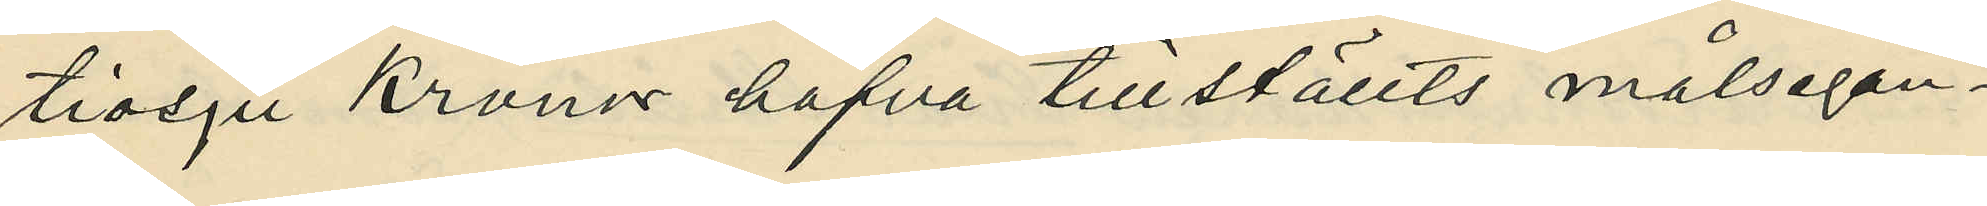tiosju Kronor hafva tillställts målsegan¬
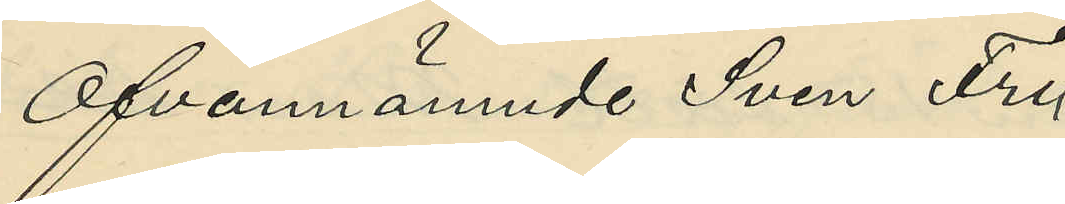Ofvannämnde Sven Fri¬
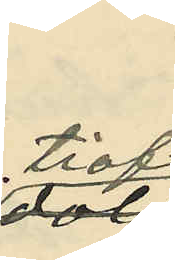tiof
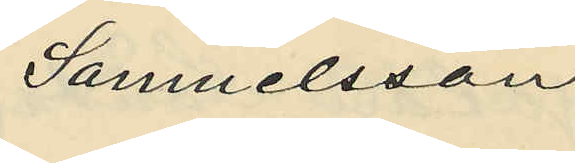Samuelsson
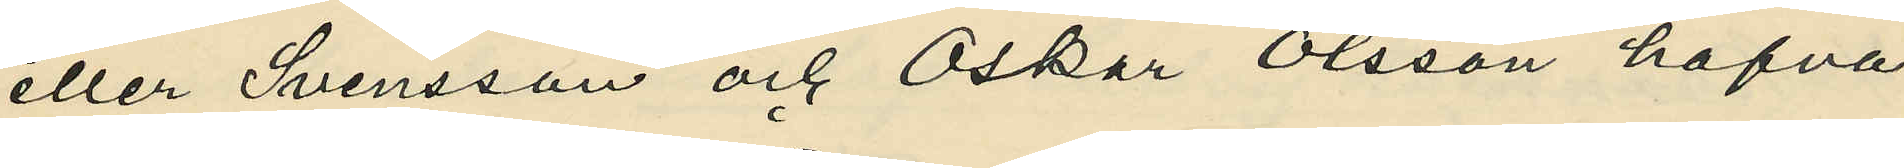eller Svensson och Oskar Olsson hafva
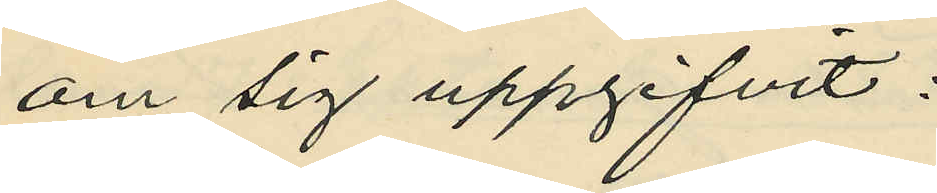om sig uppgifvit:
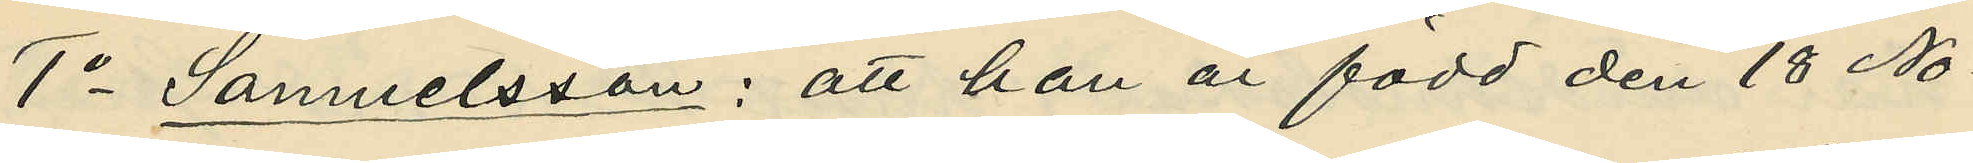1o Samuelsson: att han är född den 18 No¬
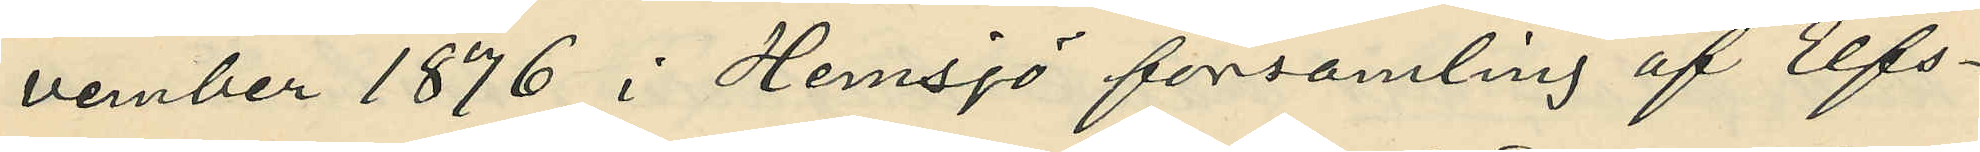vember 1876 i Hemsjö församling af Elfs¬
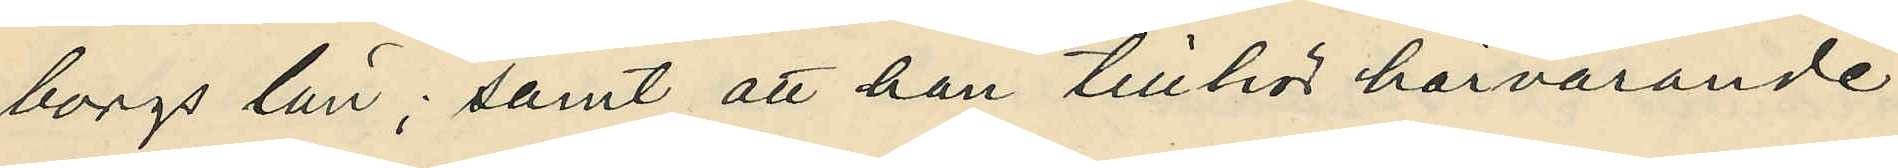borgs län; samt att han tillhör härvarande
